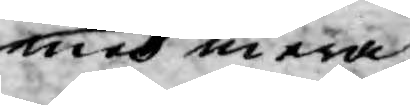med mera,
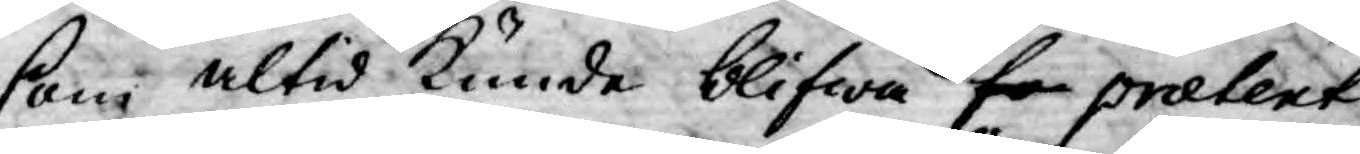som altid kunde blifwa fo pratent
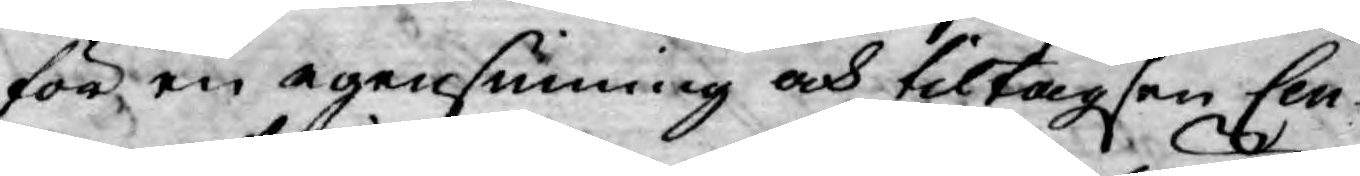för en egensinning och tiltagsen Cen¬
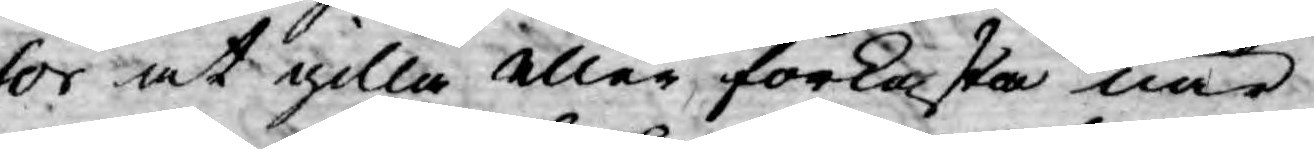sor at gilla eller, förkasta när
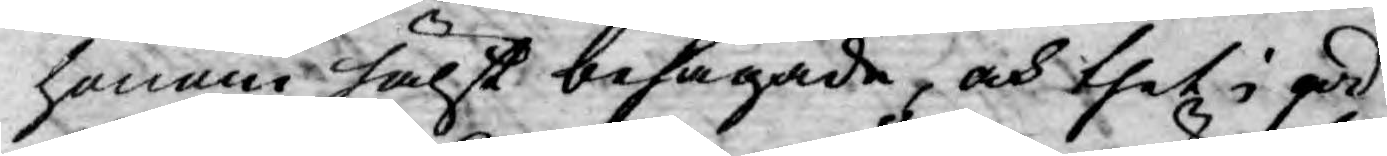honom hälst behagade, och thet i god
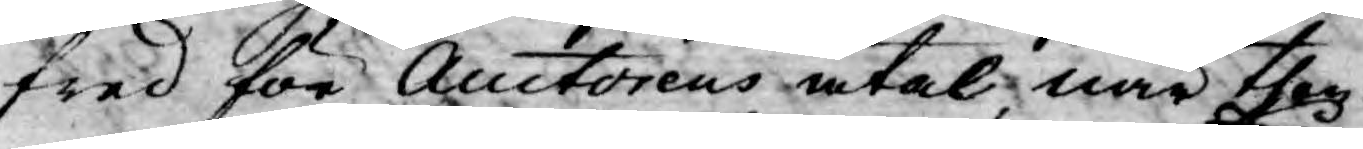fred för Auctorens åtal, när then¬
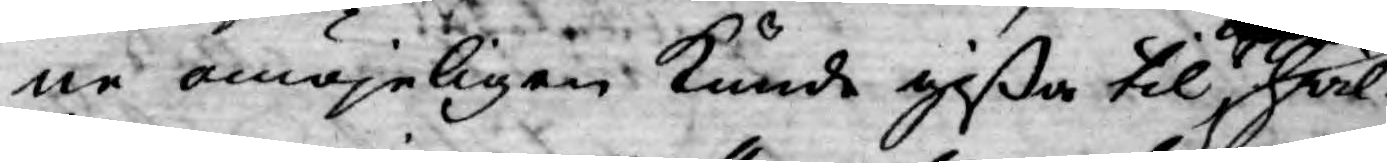ne omöjeligen kunde gißa til hwil¬
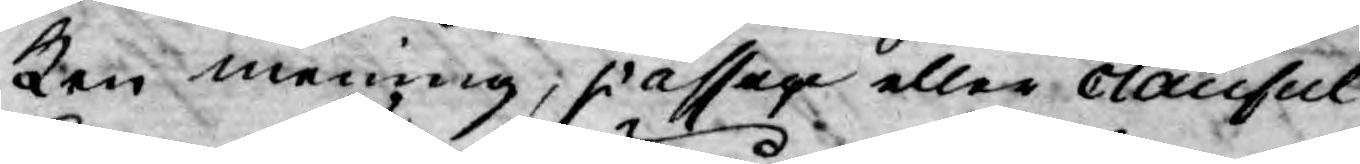ken mening, passage eller clausul
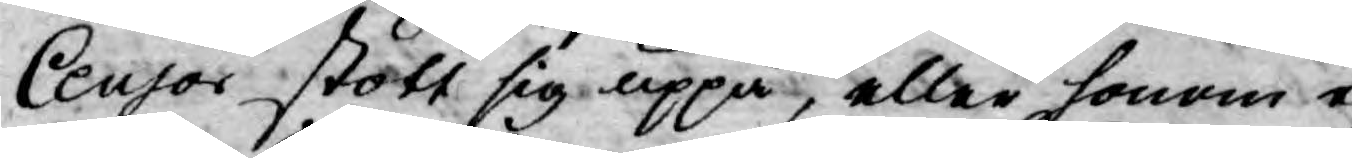Censor stött sig uppå, eller honom ej
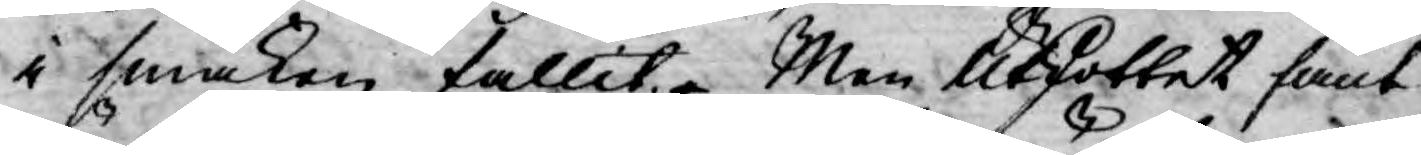i smaken fallit. Men Utskottet fant
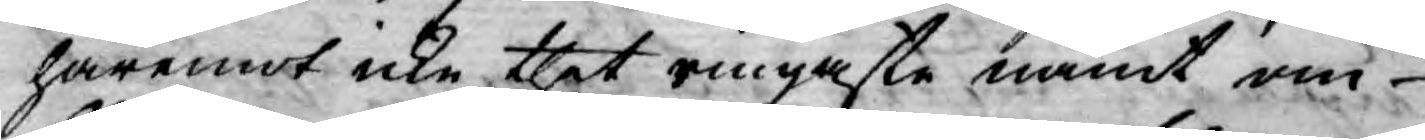häremot icke thet ringaste nämt om
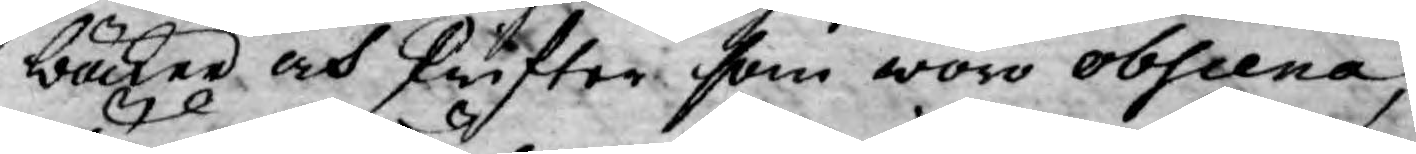böcker och skrifter som woro obscena,
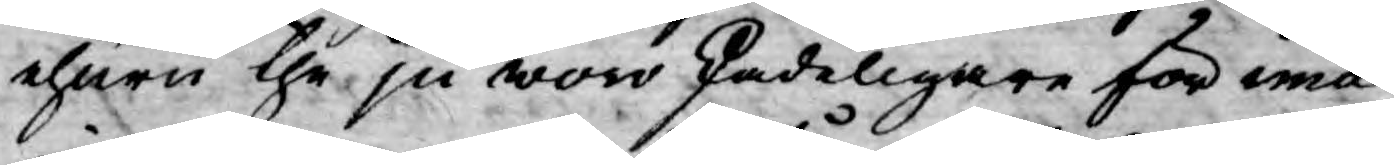ehuru the ju woro skadeligare för ima¬
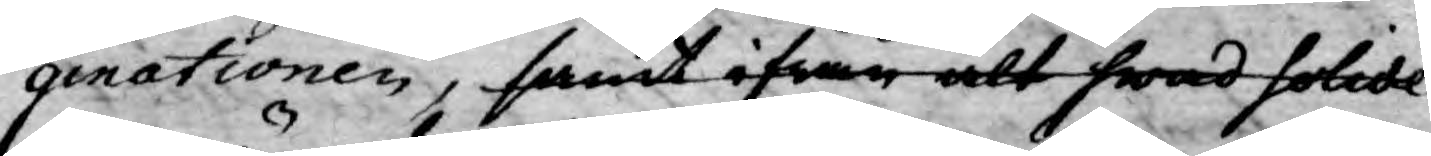ginationen, samt ifrån alt hwad solide
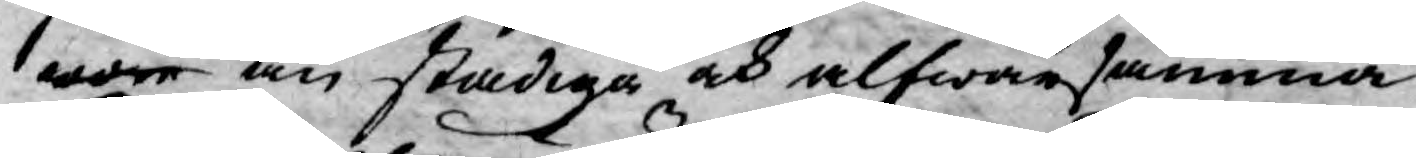wore än stadiga och alfwarsamma
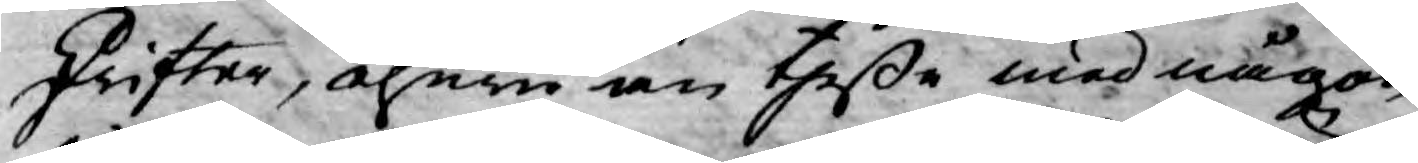skrifter, ehuru än theße med någon
